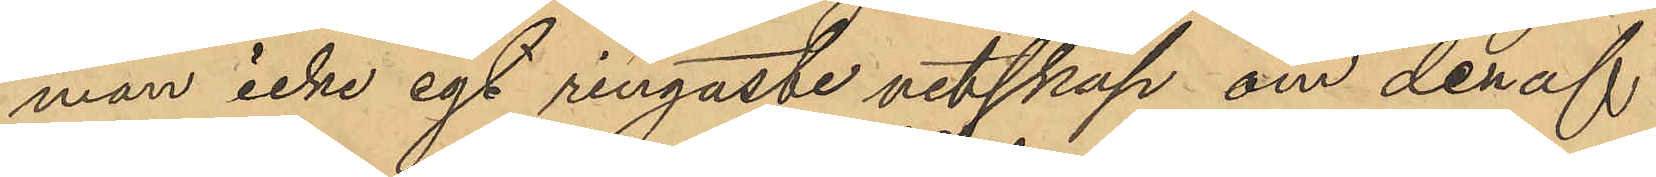man icke egt ringaste vetskap om den af
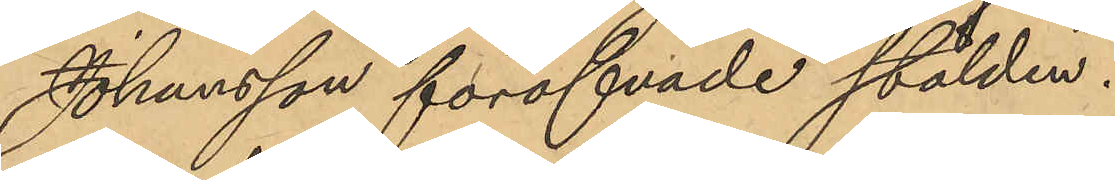Johansson föröfvade stölden.
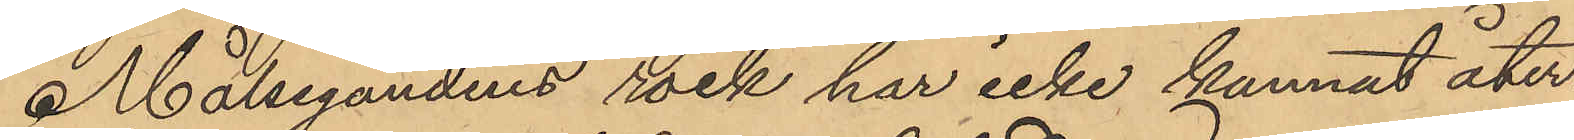Målsegandens rock har icke kunnat åter¬
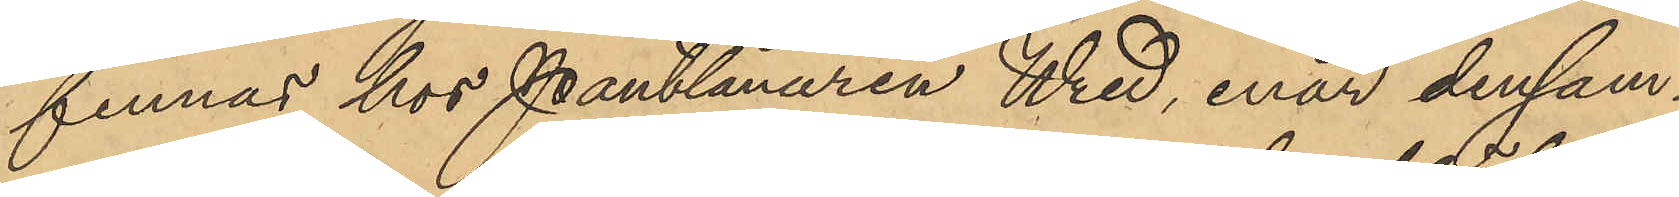finnas hos Pantlånaren Wred, enär densam¬
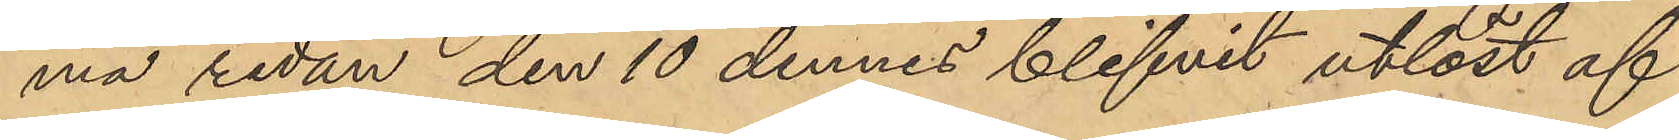ma redan den 10 dennes blifvit utlöst af
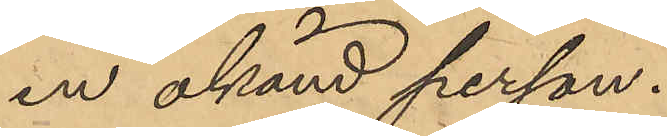en okänd person.
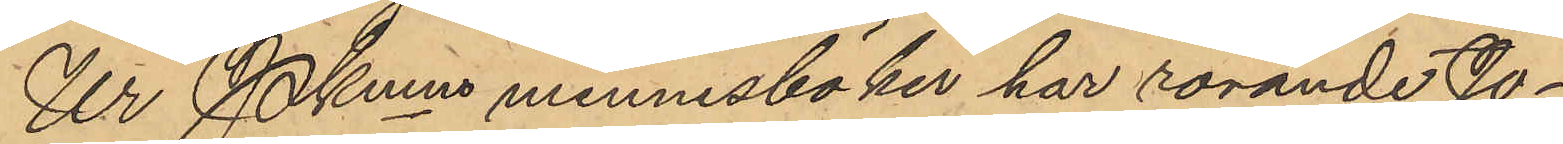Ur Pkmns minnesböker har rörande Jo¬
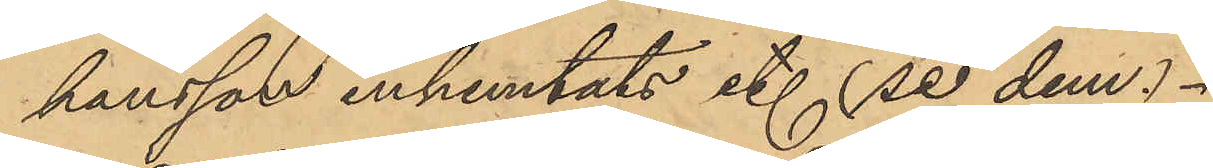hansson inhemtats etc. (se dem).
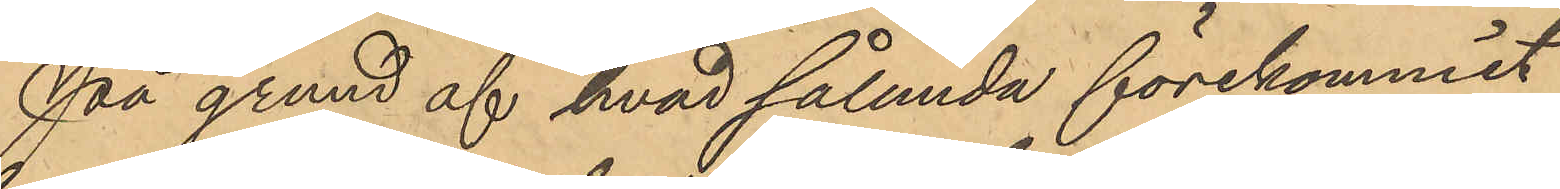På grund af hvad sålunda förekommit
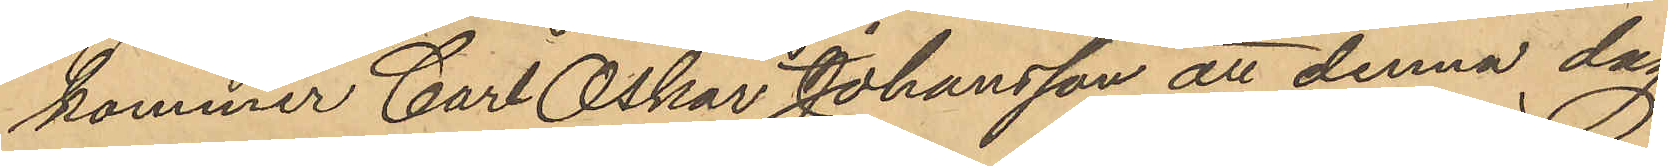kommer Carl Oskar Johansson att denna dag
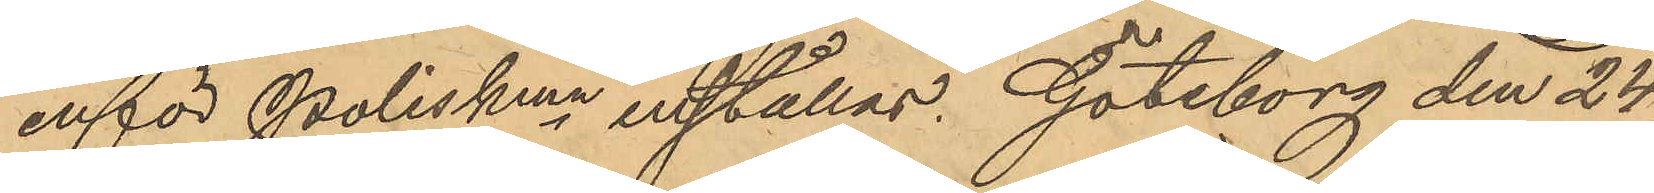inför Poliskmn inställas. Göteborg den 24
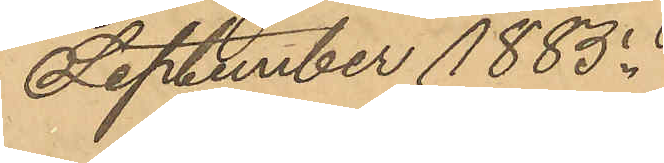September 1885.
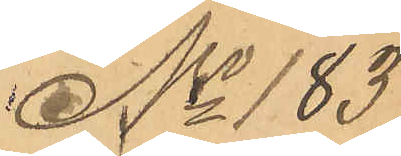No 183
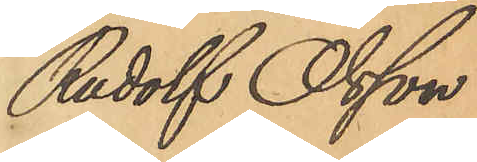Rudolf Olsson
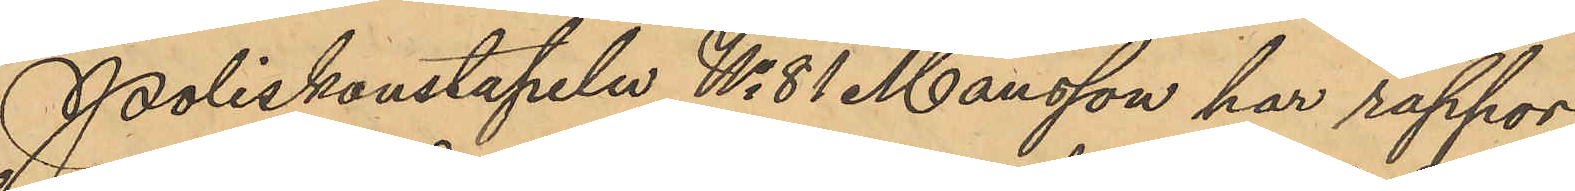Poliskonstapeln No 81 Månsson har rappor¬
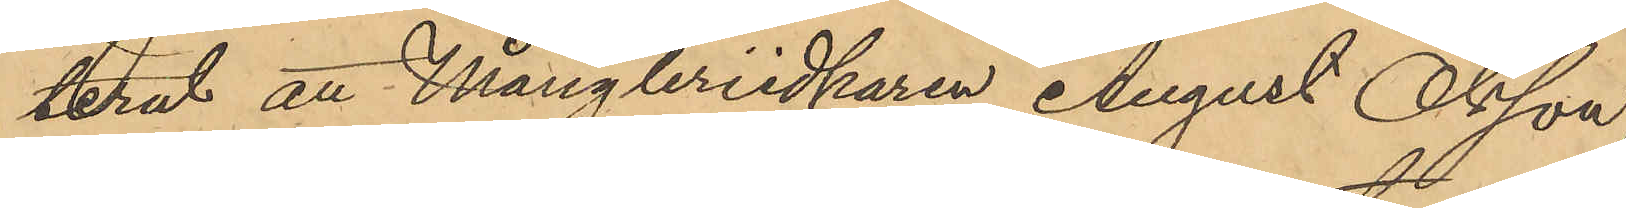terat att Mångleriidkaren August Olsson
